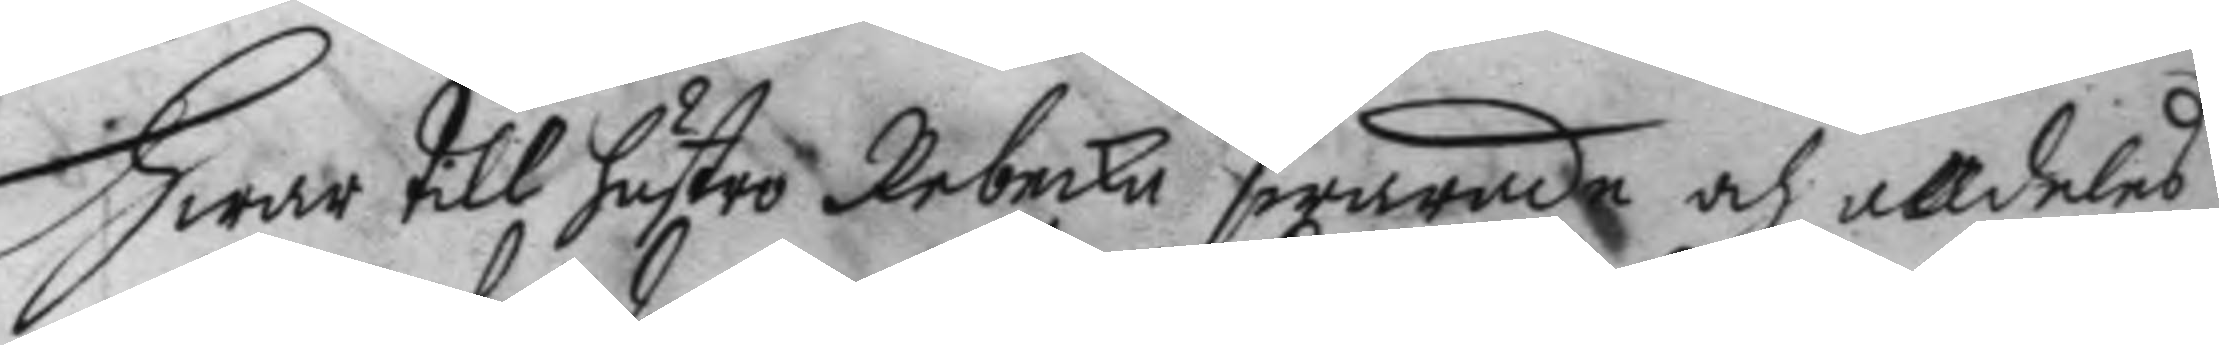Hwar till hustro Rebecka swarade och alldeles
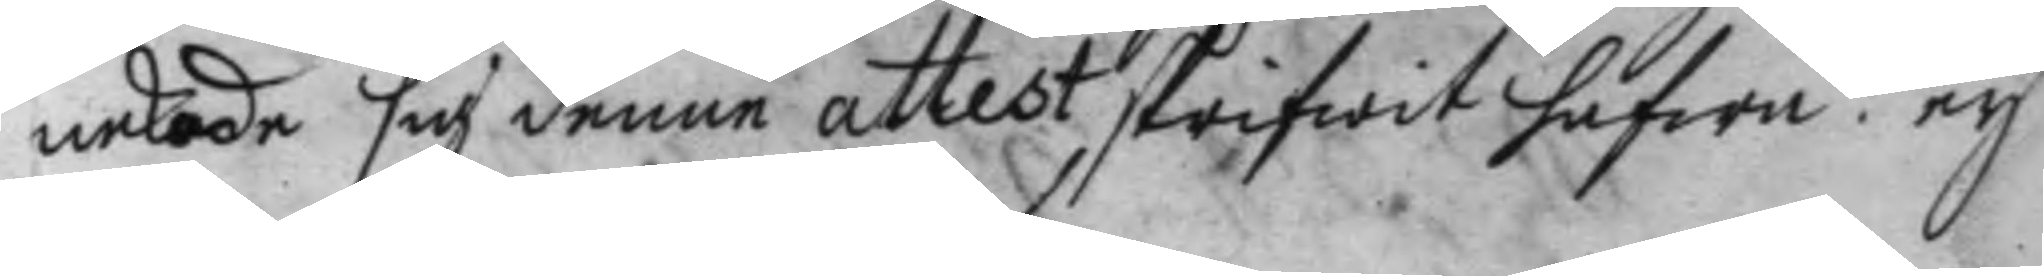nekade sig denne attest skrifwit hafwa: ey
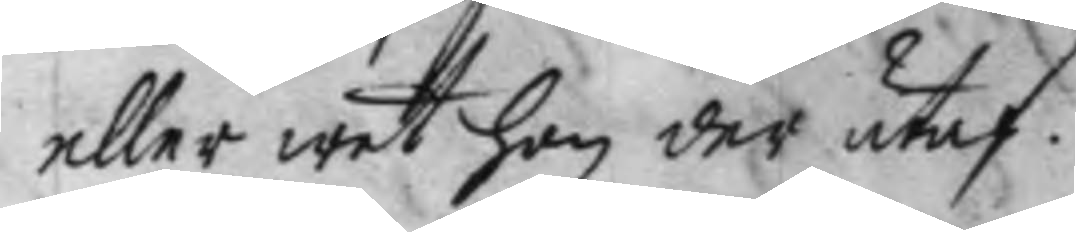eller wet hon der utaf.
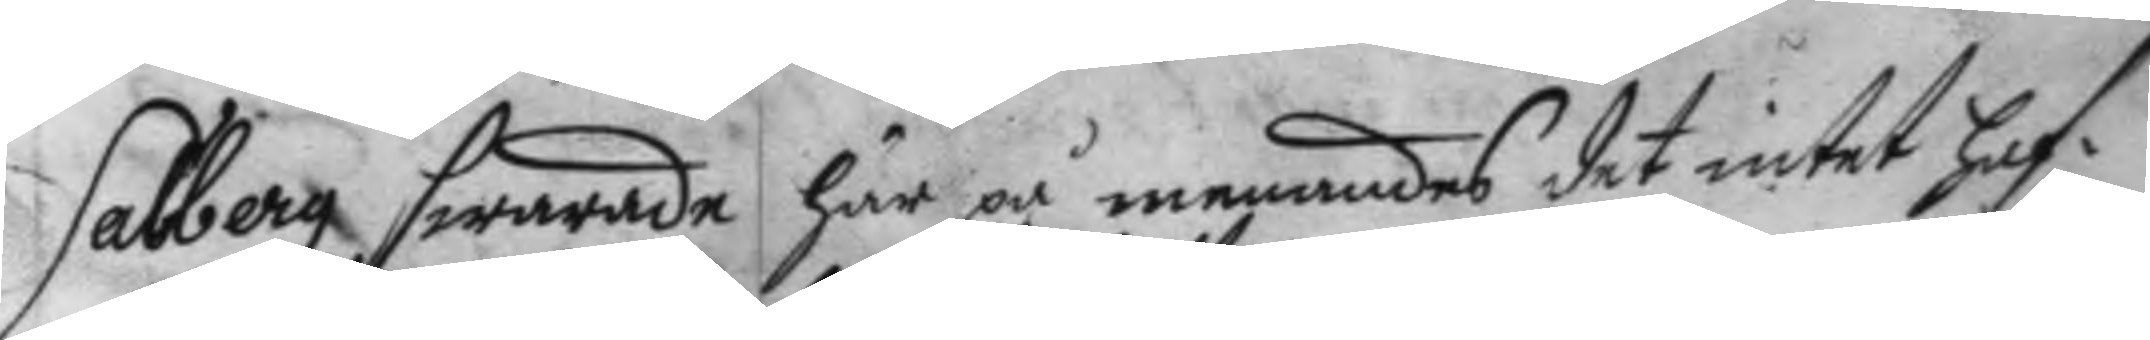Salberg swarade här på menandes det intet haf¬
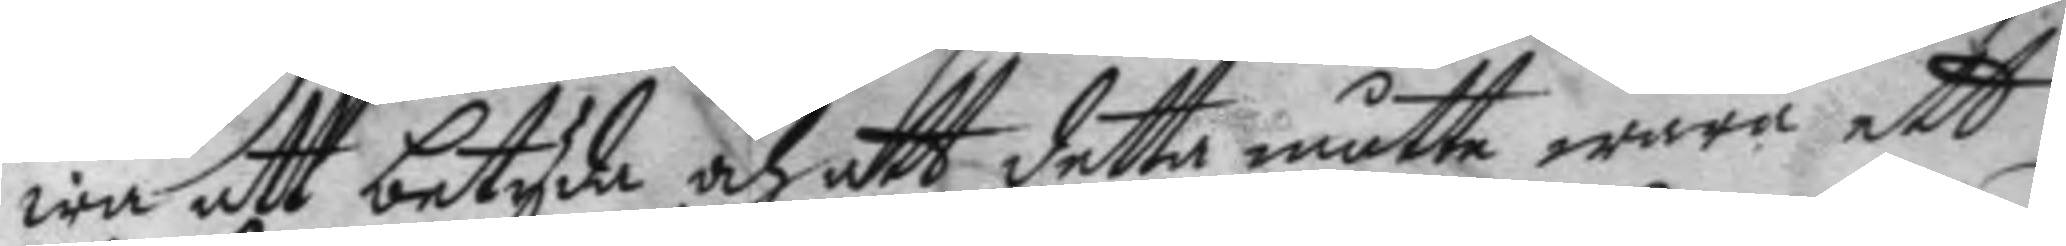wa att betyda och att detta måtte wara ett
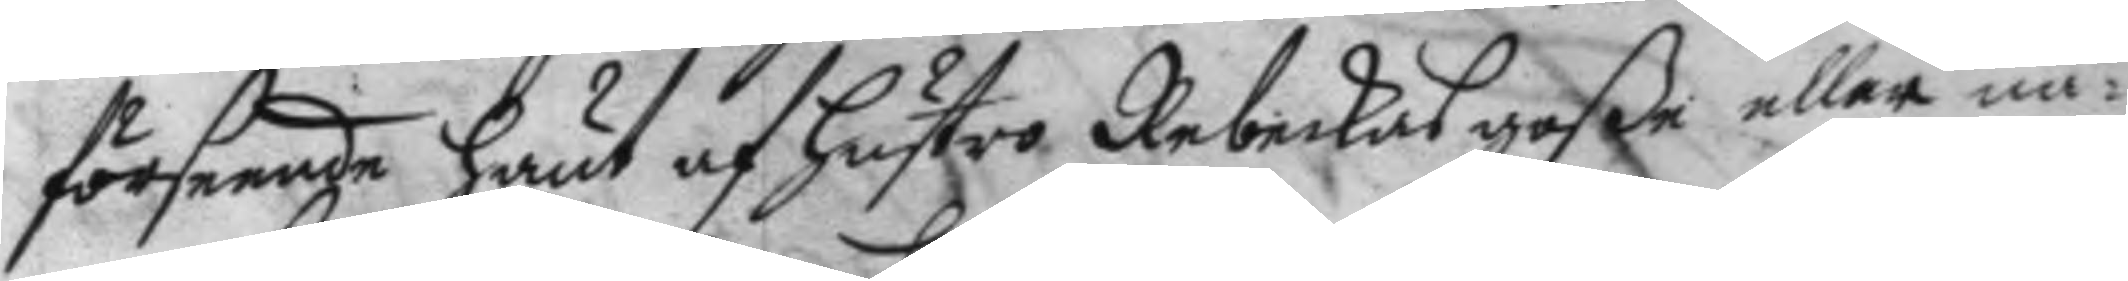förseende hänt af hustro Rebeckas goße eller nå¬
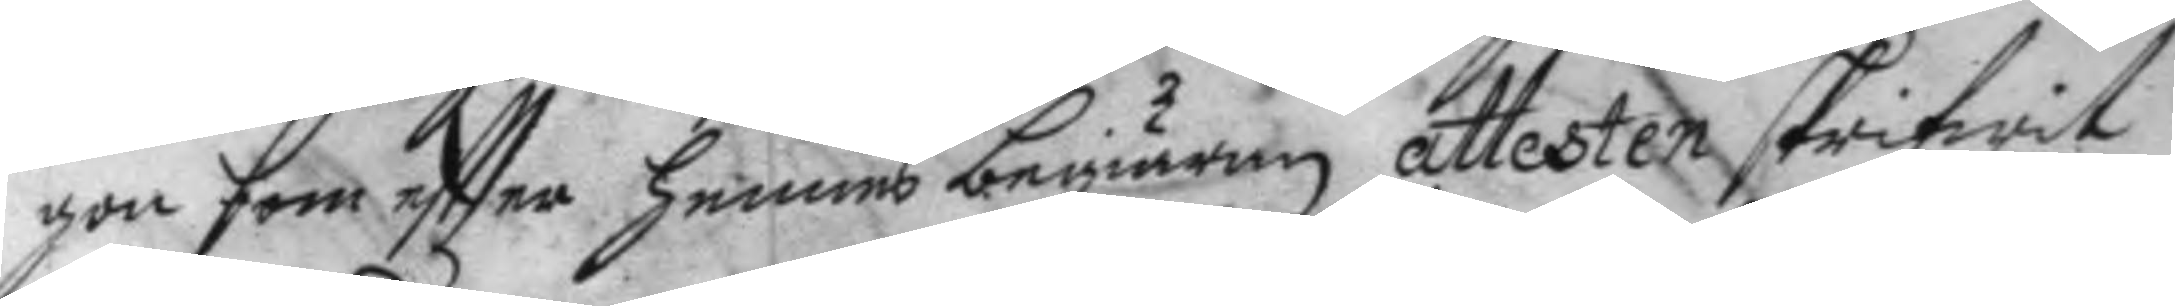gon som effter hennes begiäran attesten skrifwit
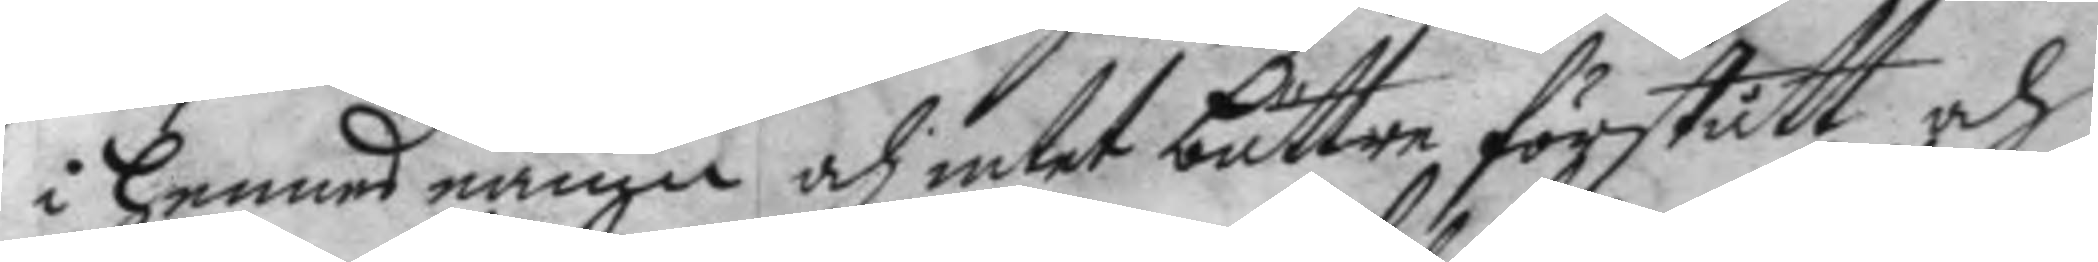i hennes namn, och intet bättre förstått och
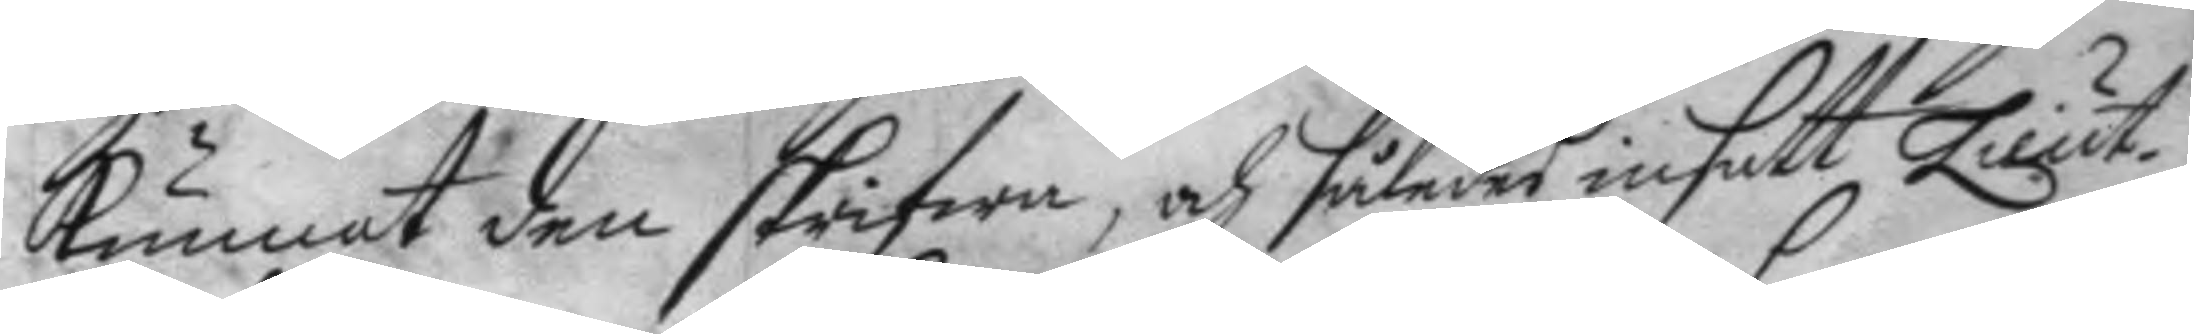Kunnat den skrifwa, och således insatt Lieut.
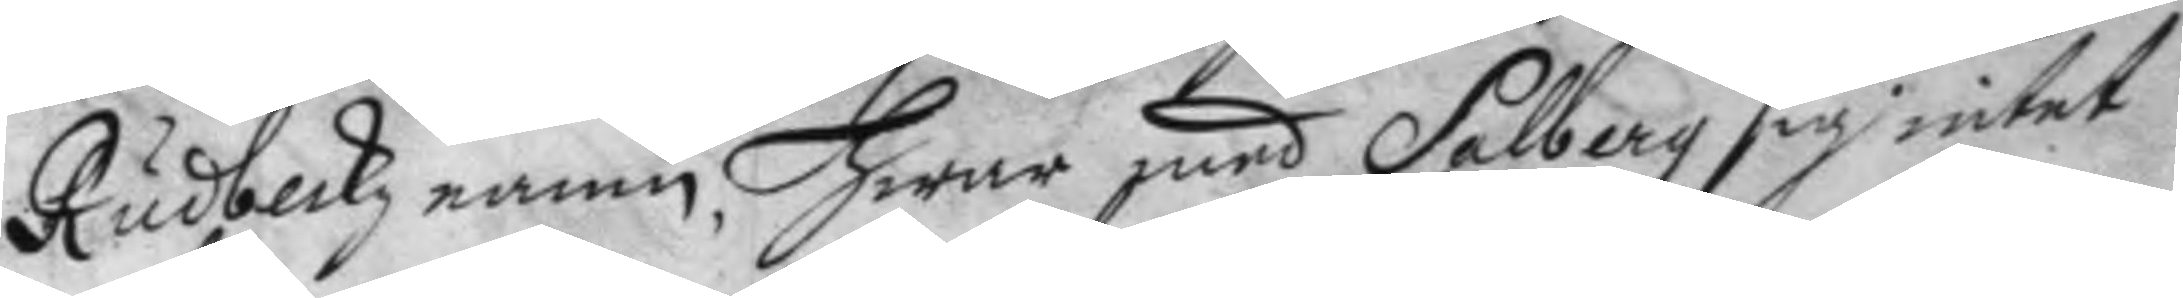Rudbeckz namn, Hwar med Salberg sig intet
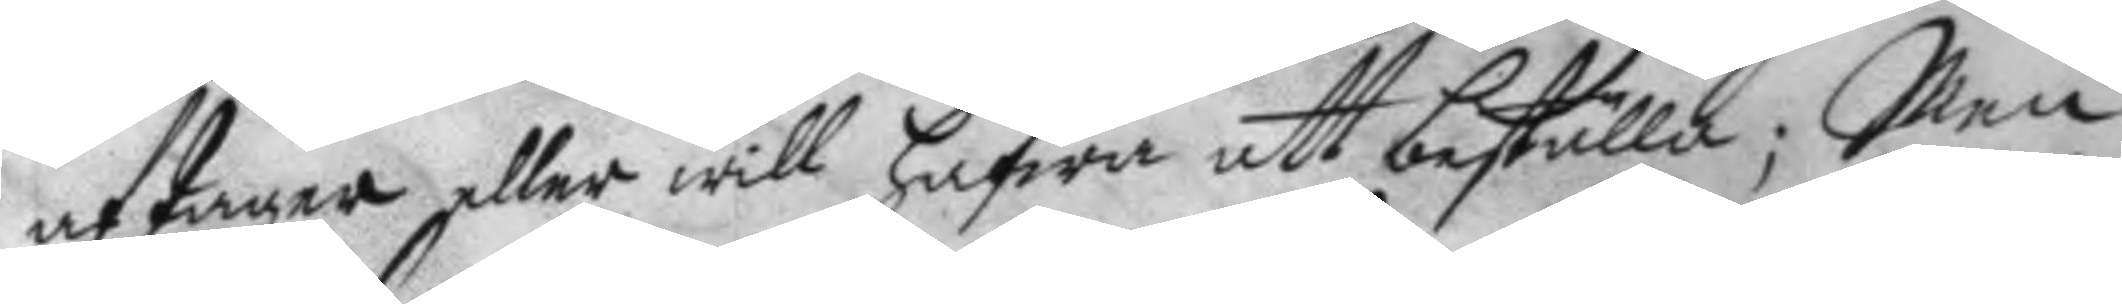aftager eller will hafwa att beställa; Men
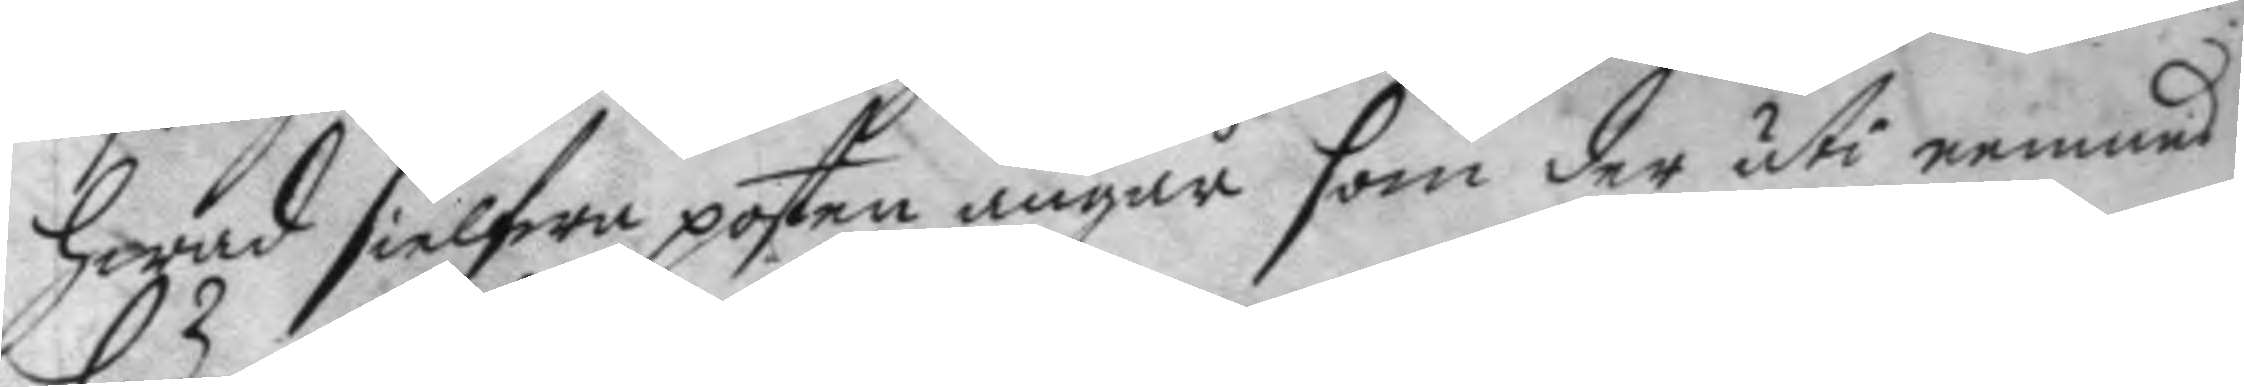hwad sielfwa posten angår som der uti nemnes
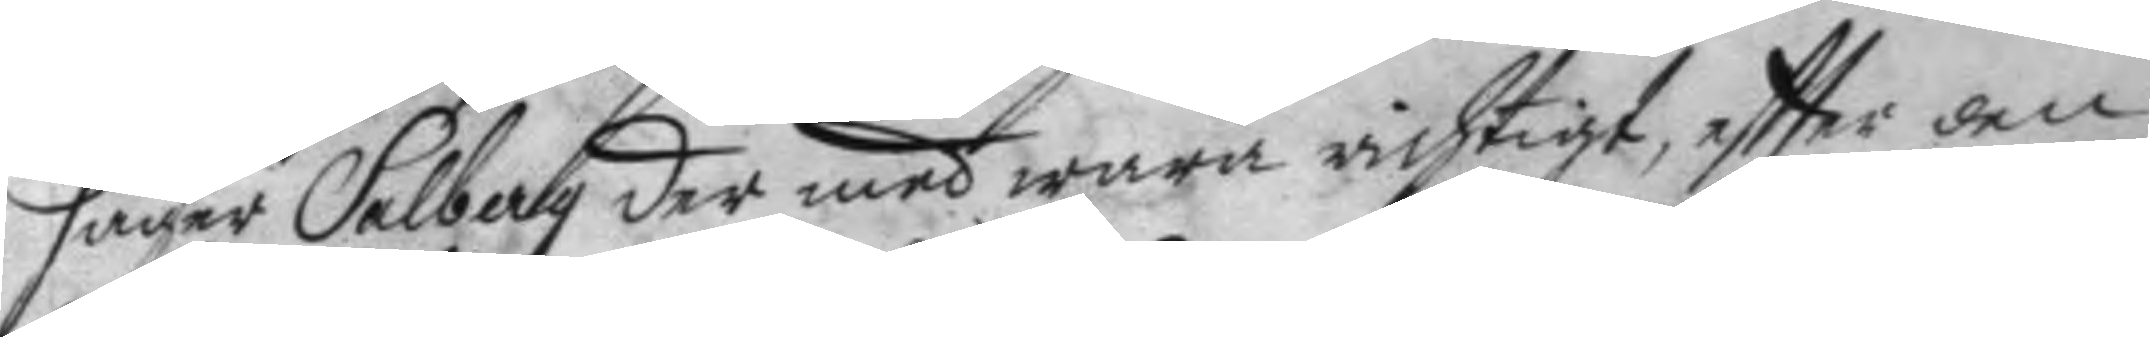säger Salbag der med wara richtigt, eftter den
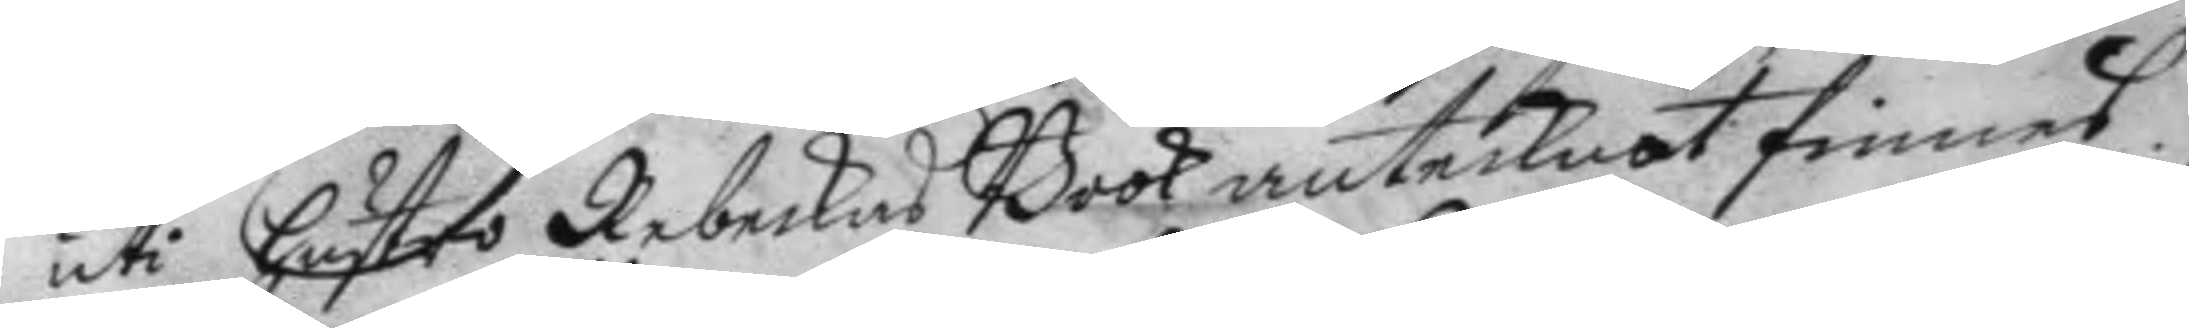uti hustro Rebeckas Book antecknat finnes.
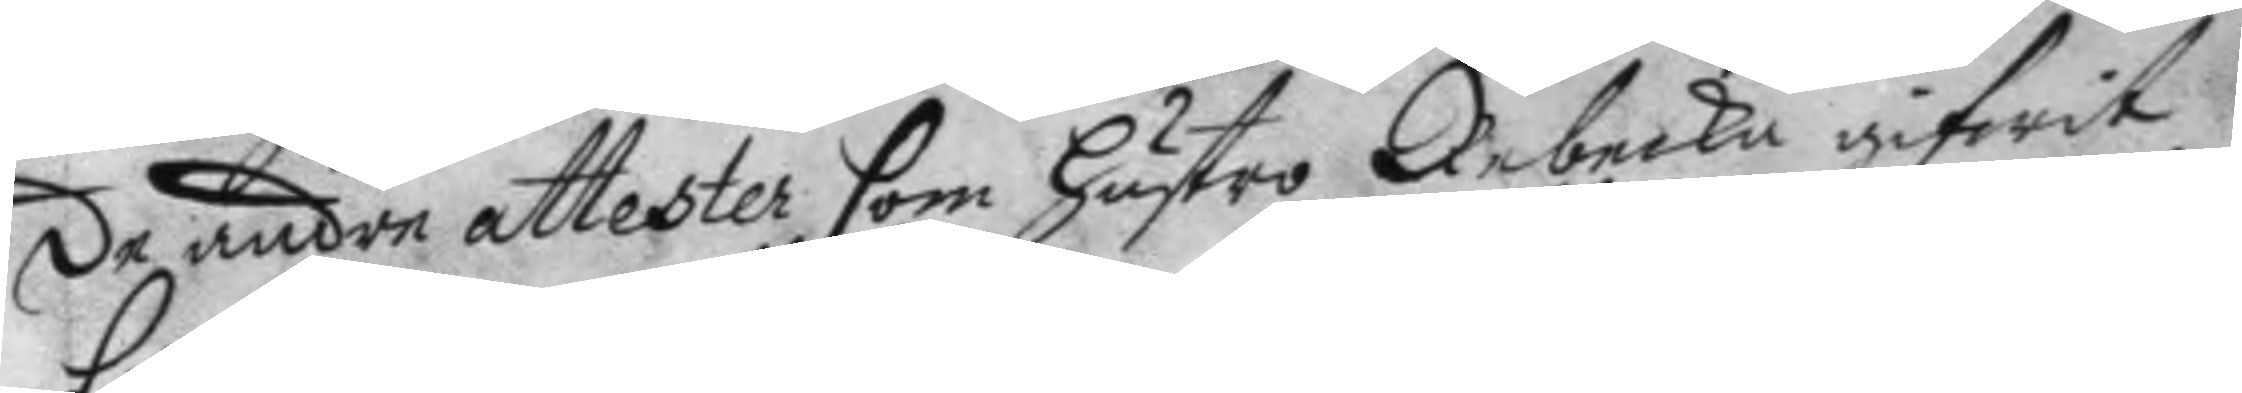de andre attester som hustro Rebecka gifwit
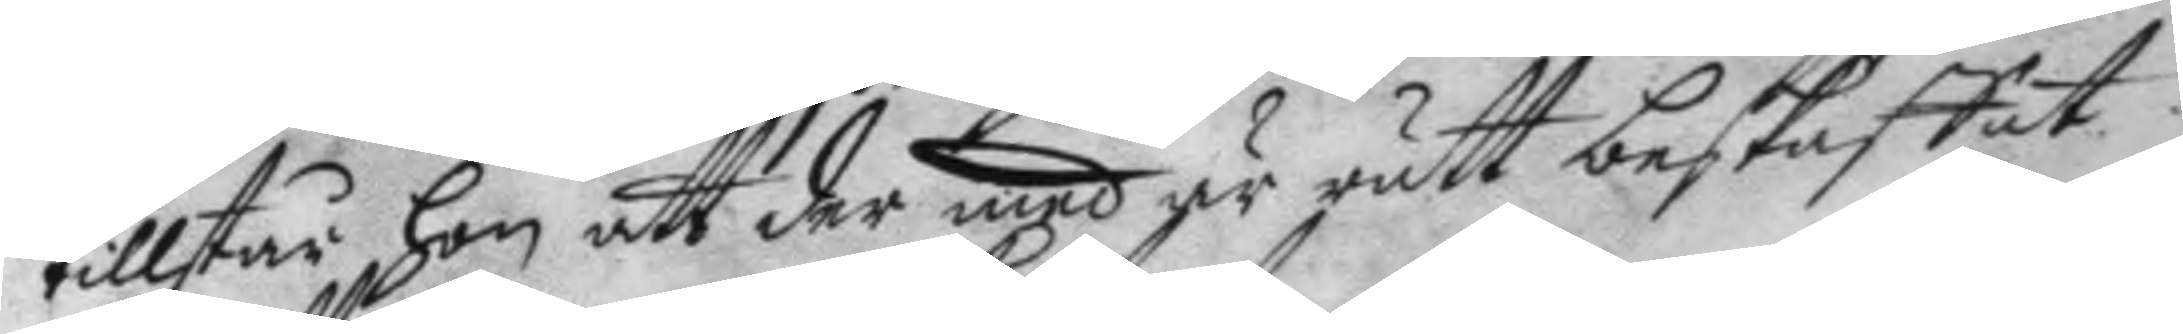tillstår hon att der med är rätt beskaffat
